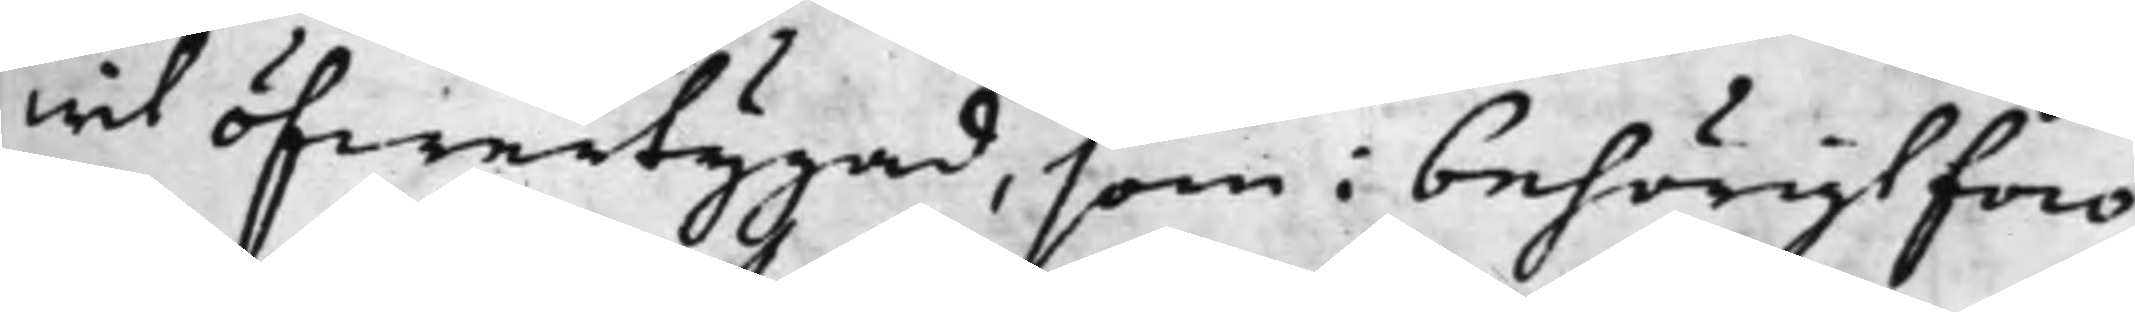wit öfwertygad, som i behörigt foro
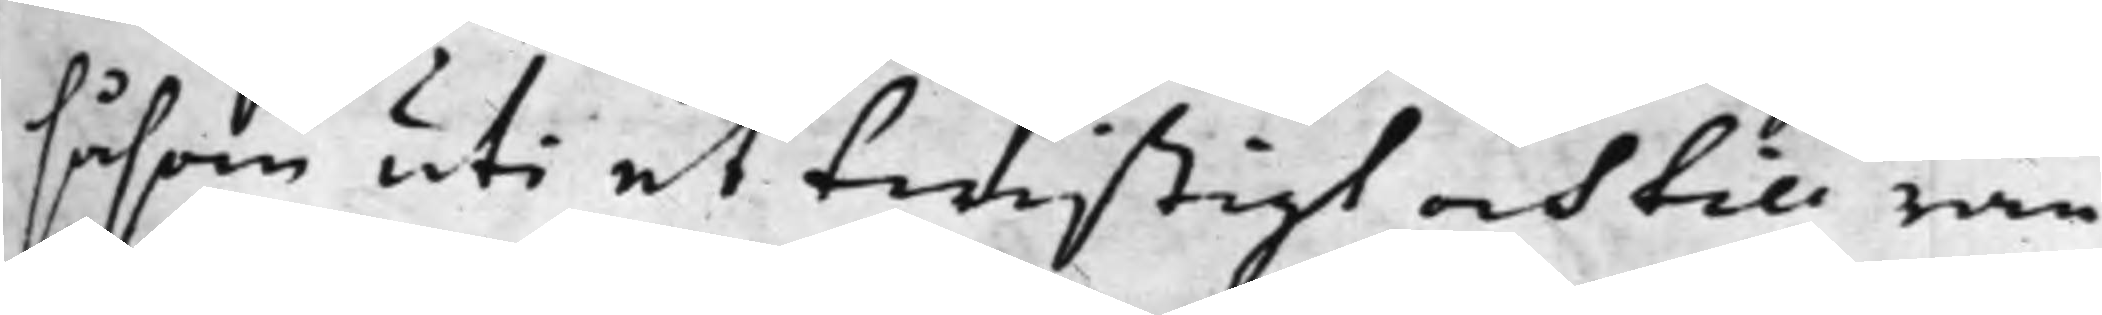såsom uti et twistigt och till ran¬
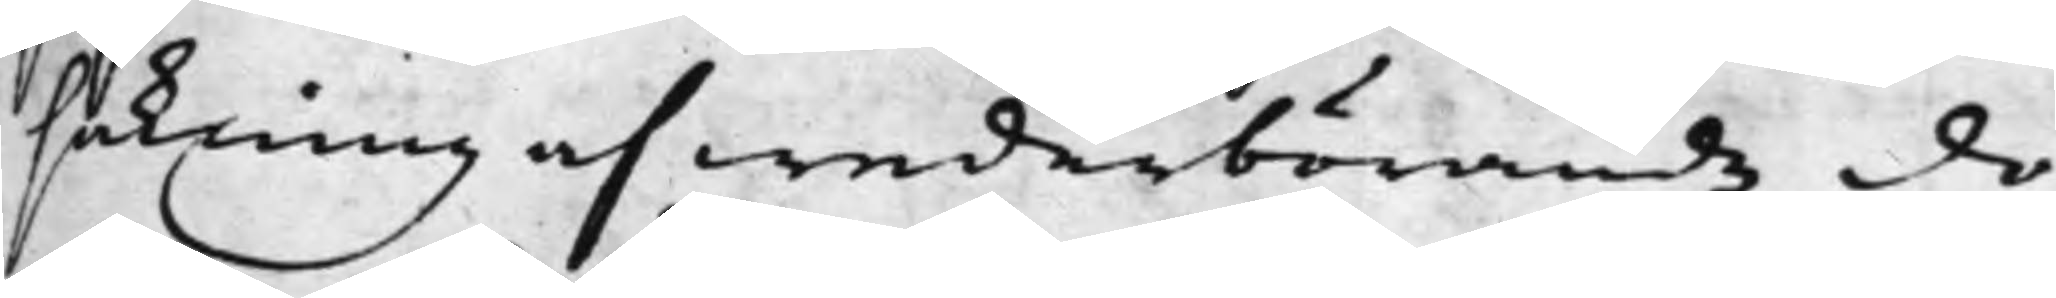sakning af wederbörande do¬
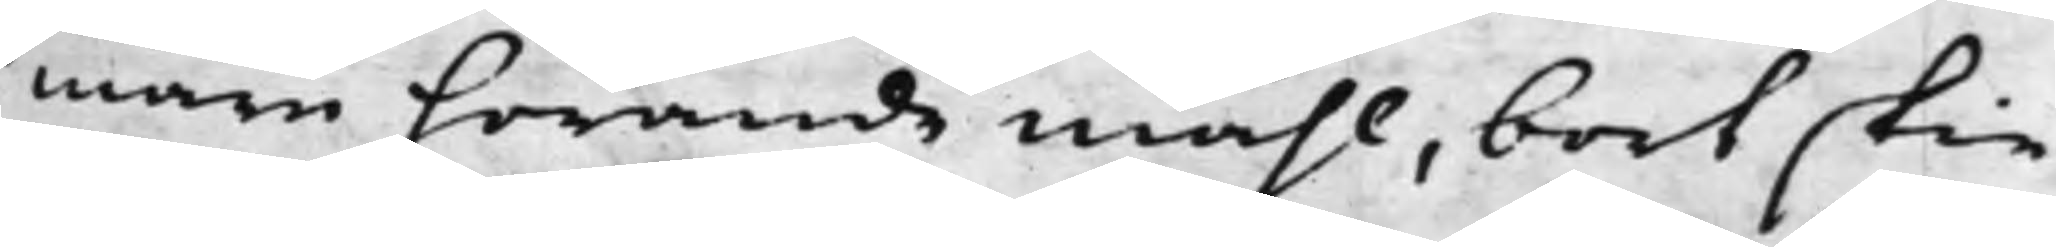mare hörande måhl, bort skie
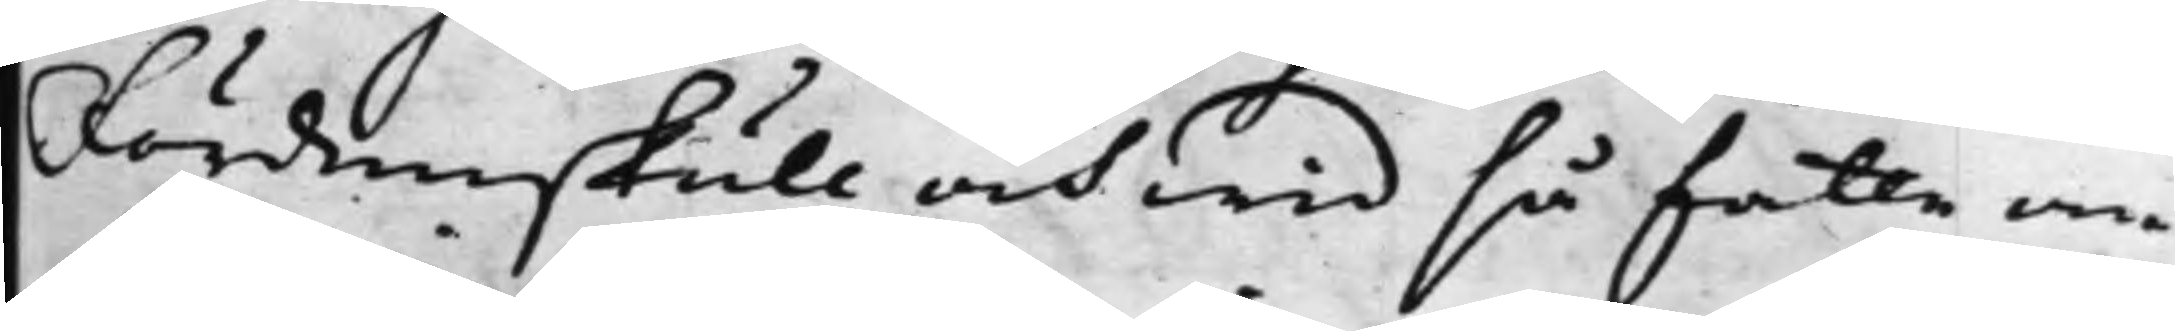Fördenskull och wid så fatte om¬
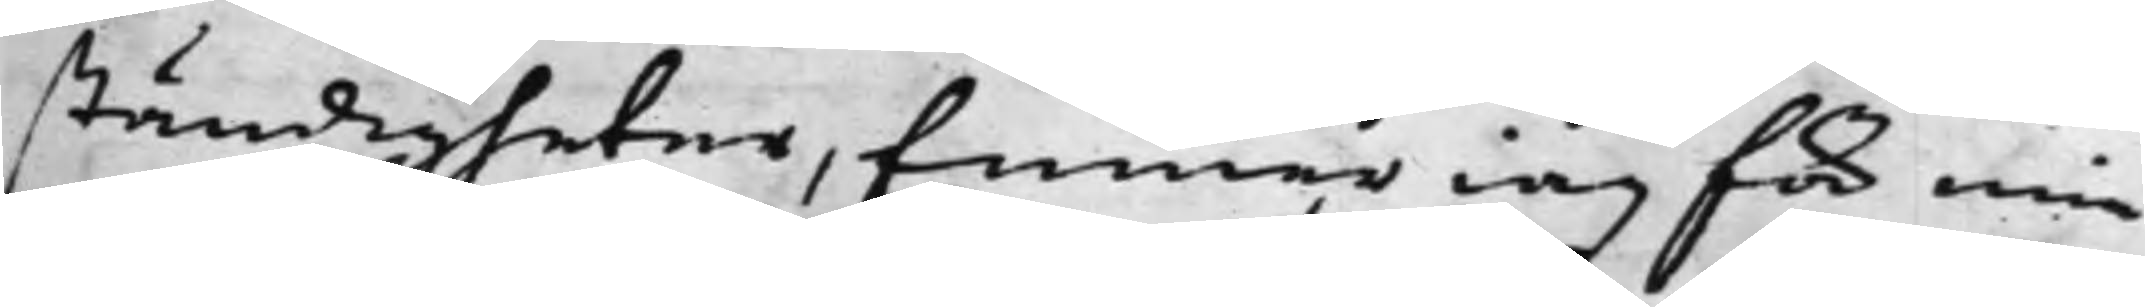ständigheter, finner iag för min
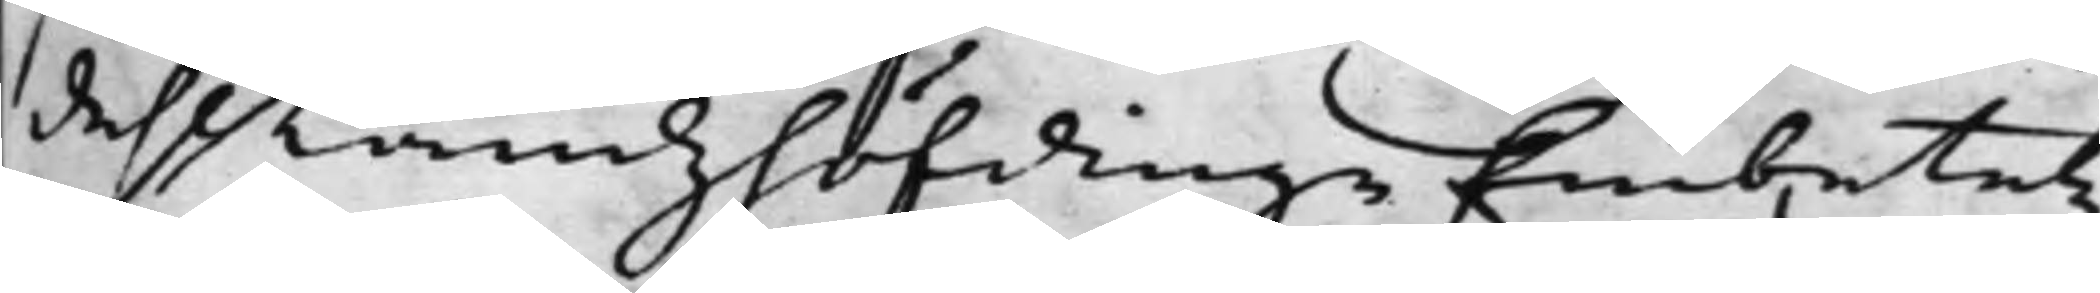dehl LandzhöfdingeEmbetetz
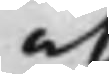at
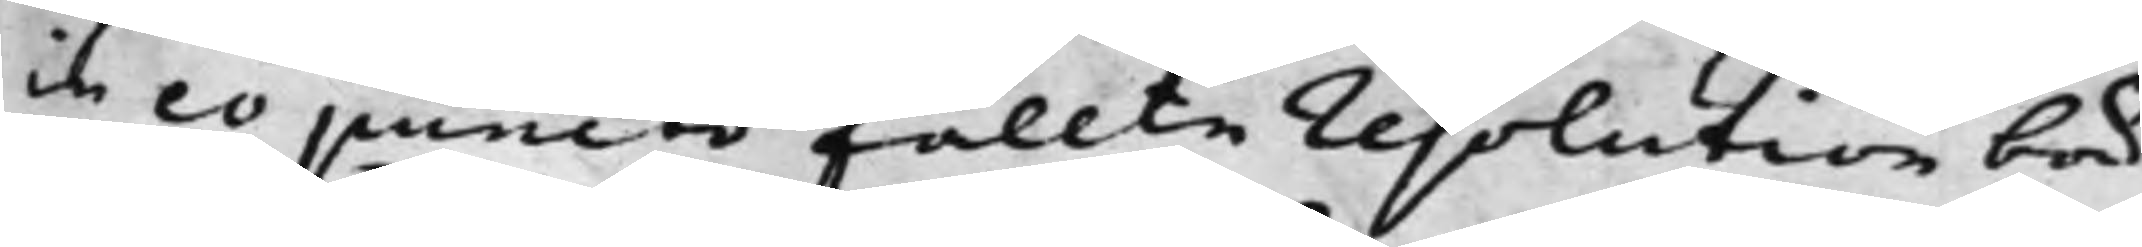in eo puncto fällte resolution bör
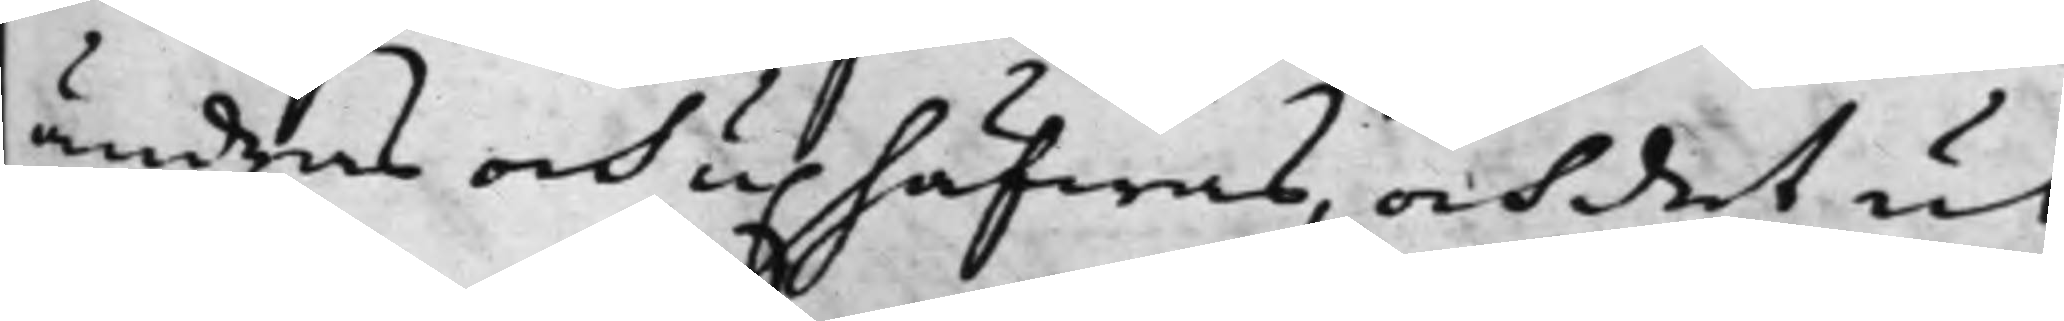ändras och uphäfwas, och det ut¬
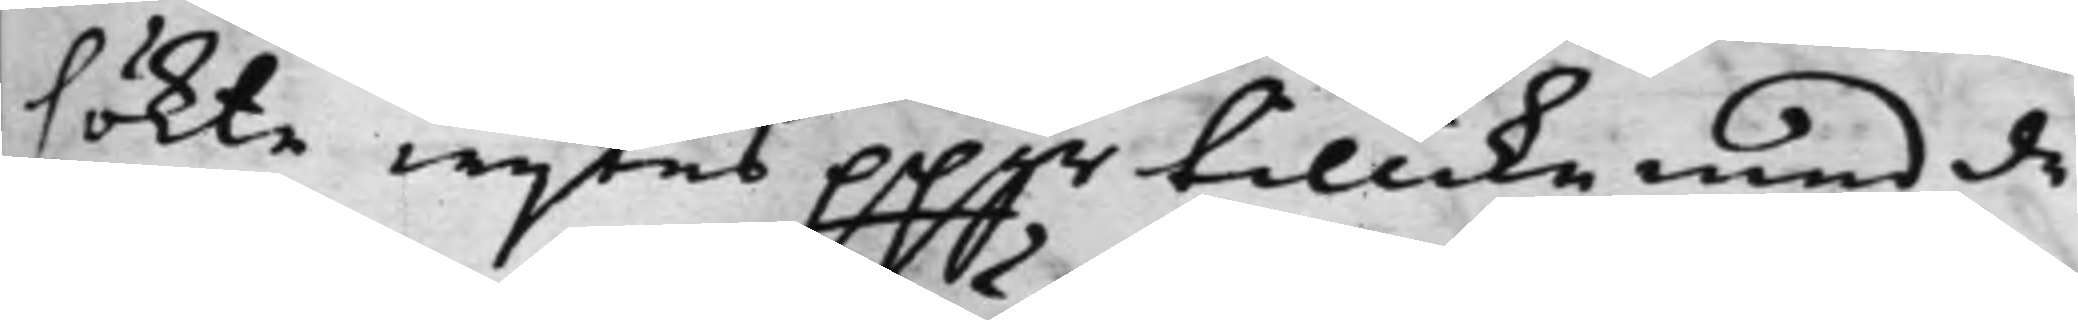sökte wijtes ppgr tillika med de
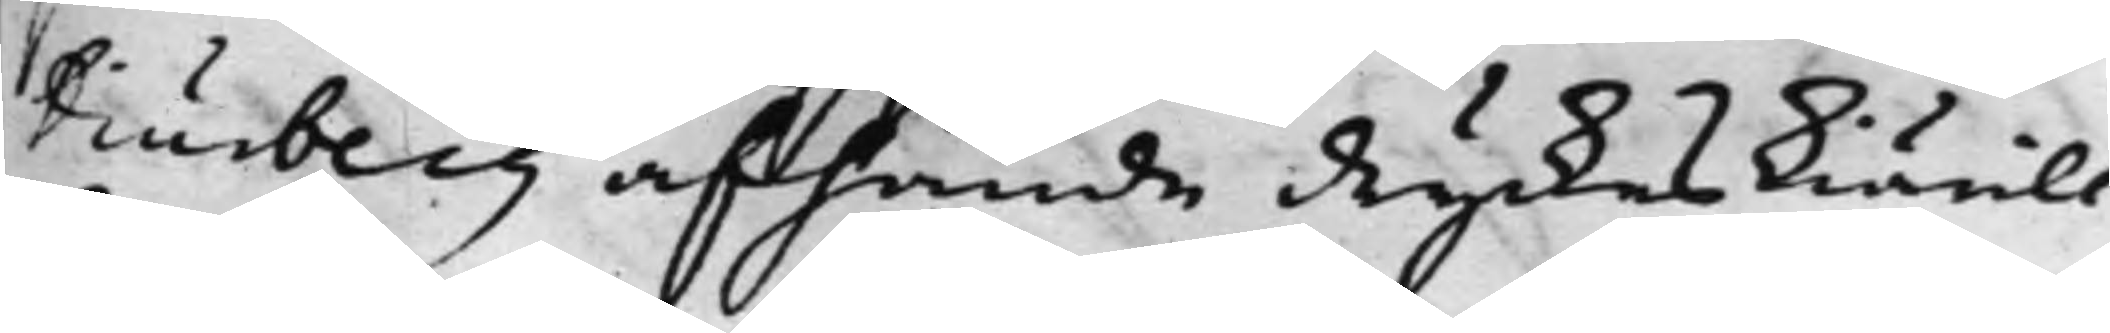Diurberg afhände dryckeskiärill
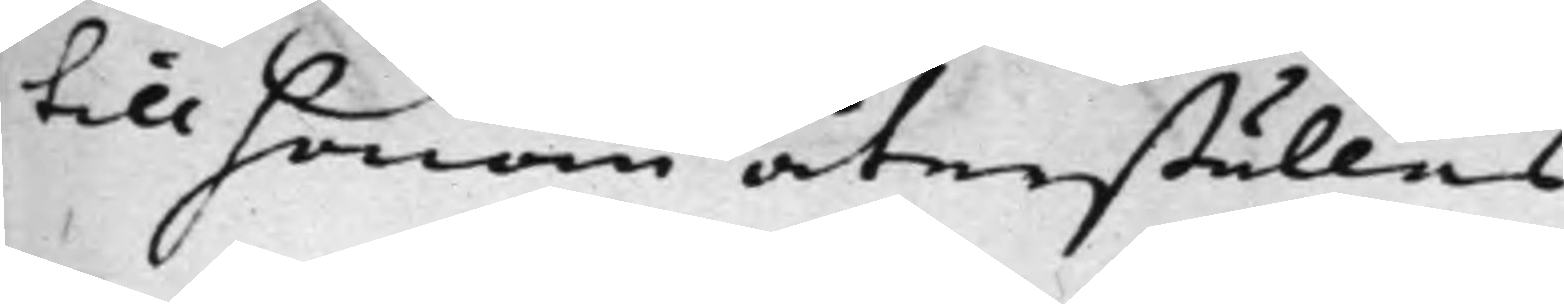till honom återställas.
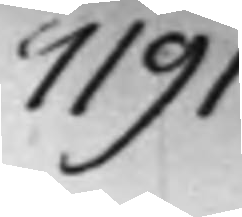1191.
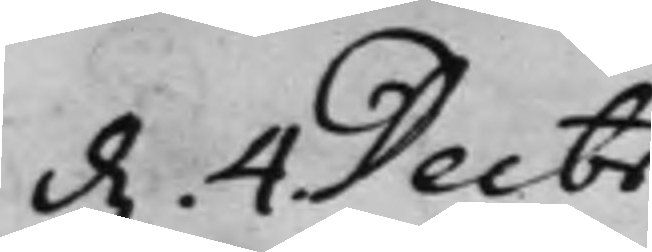d. 4. Decbr
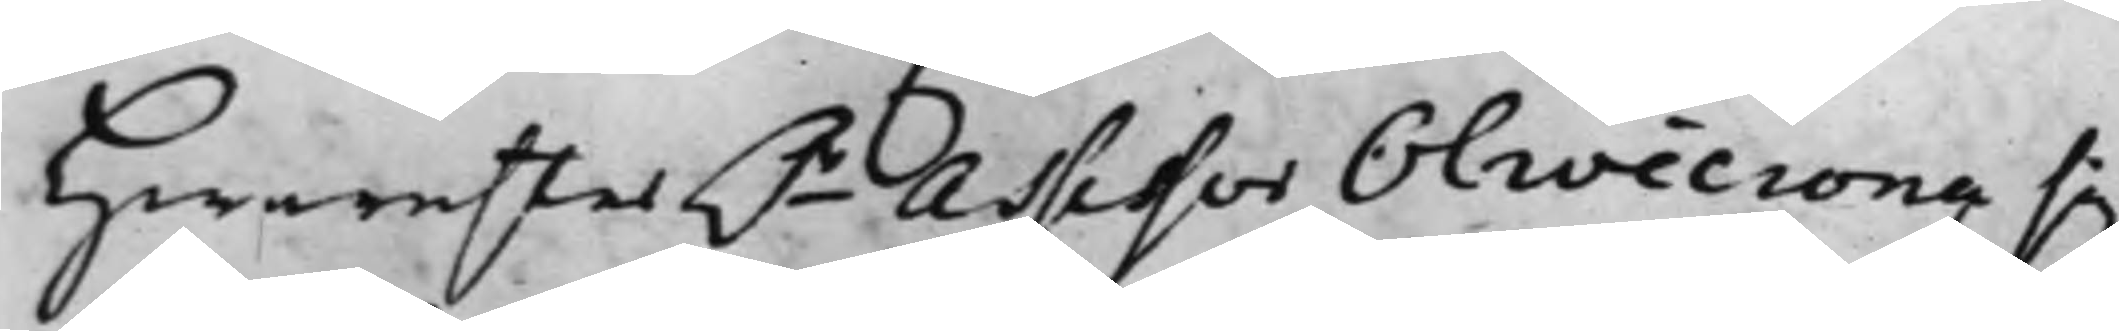Hwarefter h.r Assessor Olivecrona sig
